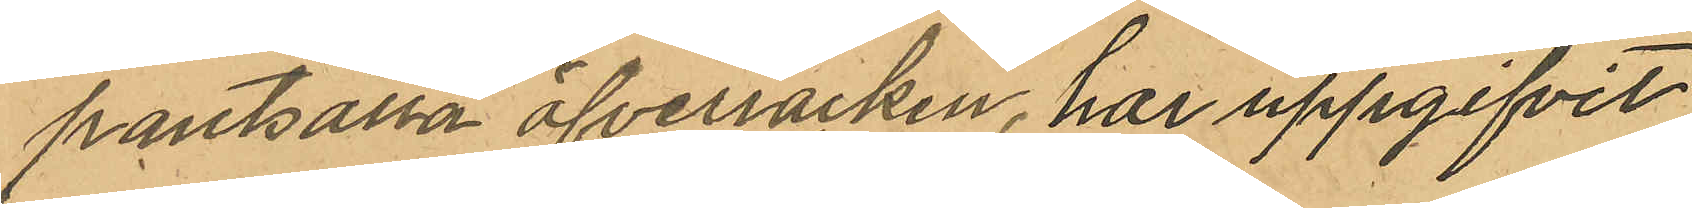pantsatta öfverrocken, har uppgifvit
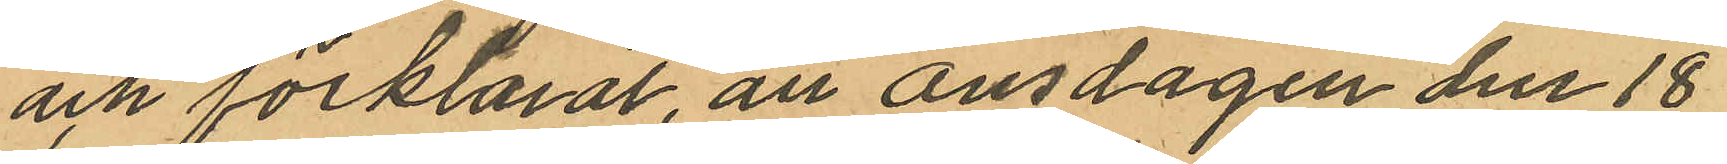och förklarat, att onsdagen den 18
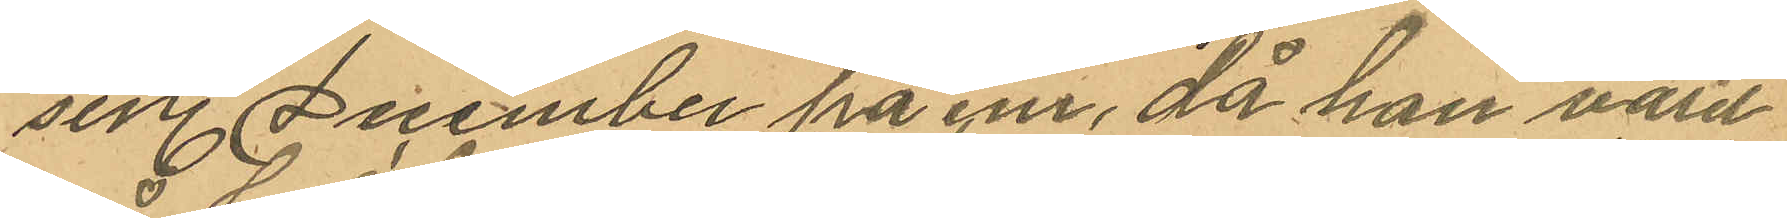sistl. December på e.m. då hon varit
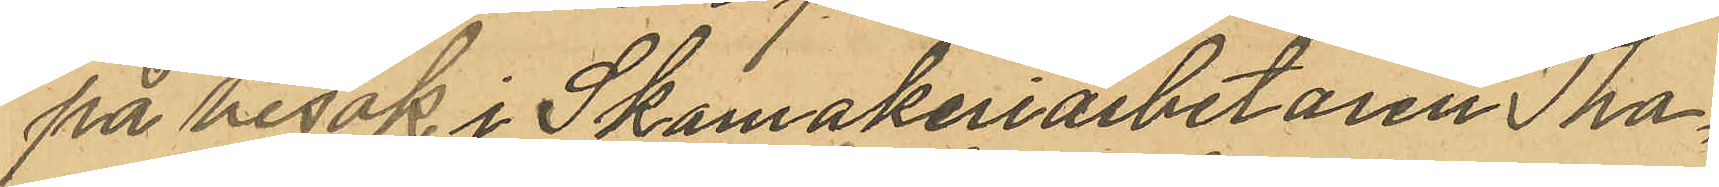på besök i Skomakeriarbetaren Tho¬
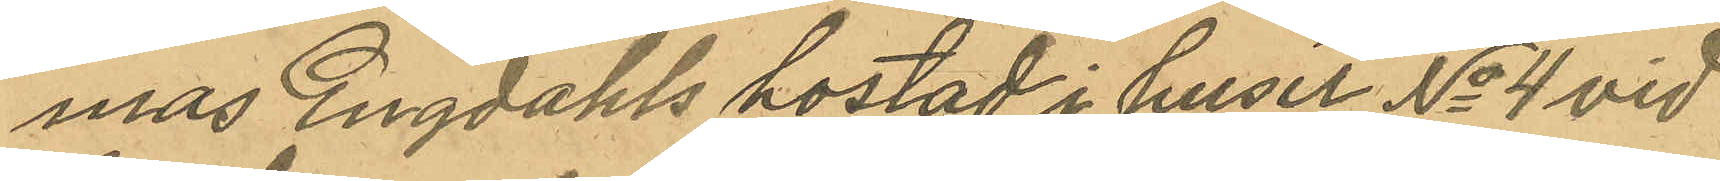mas Engdahls bostad i huset No 4 vid
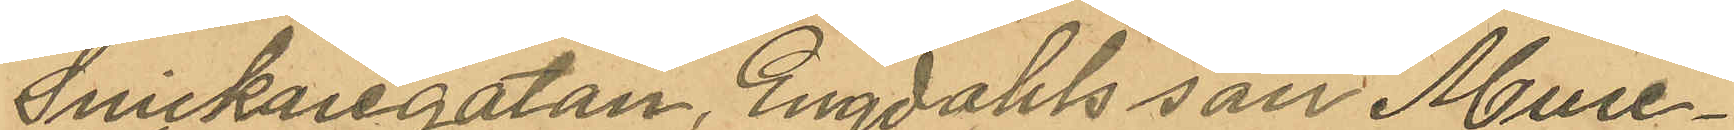Snickaregatan, Engdahls son Mure¬
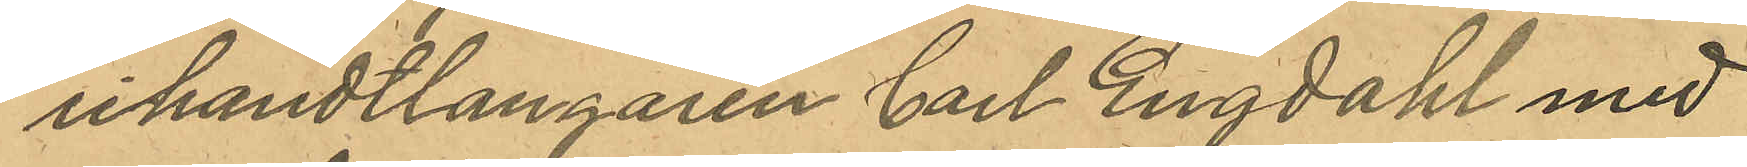rihandtlangaren Carl Engdahl med
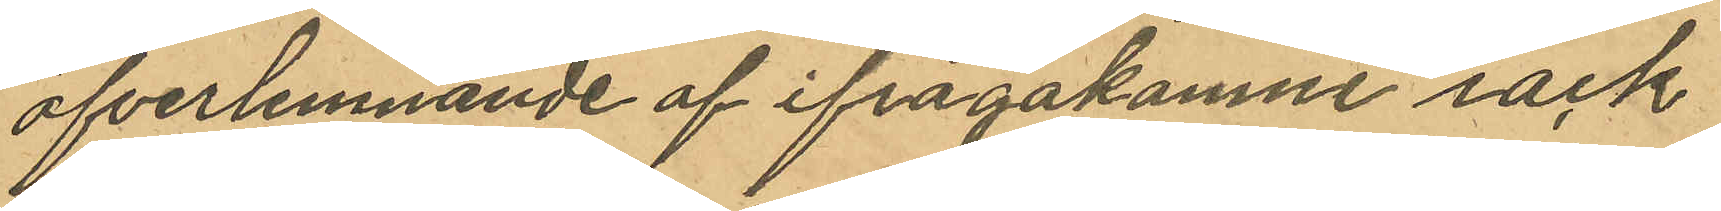öfverlemnande af ifrågakomne rock
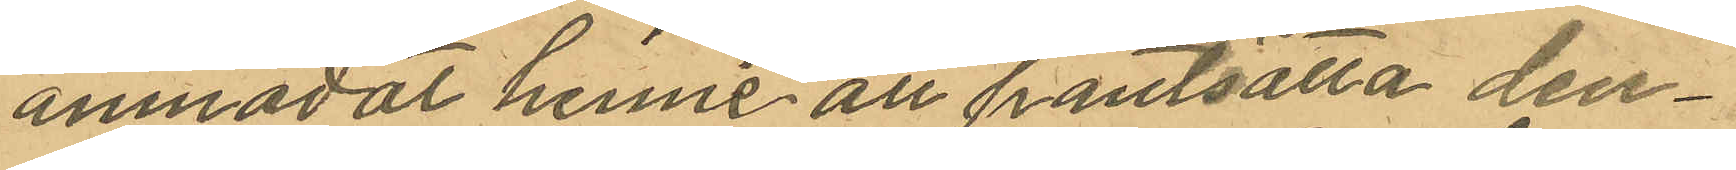anmodat henne att pantsätta den¬
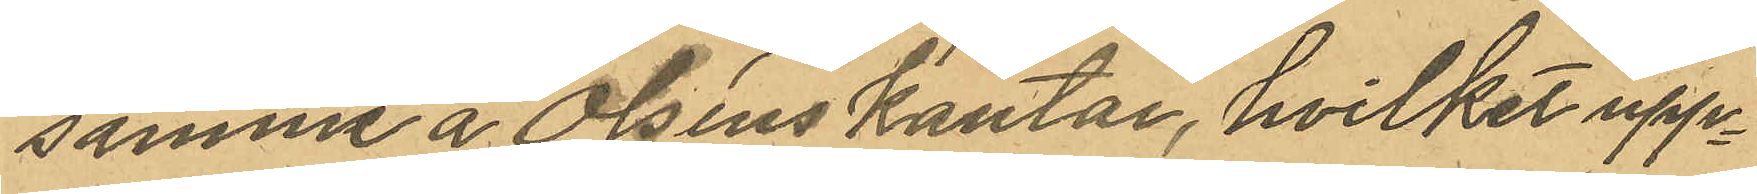samma å Olséns kontor, hvilket upp¬
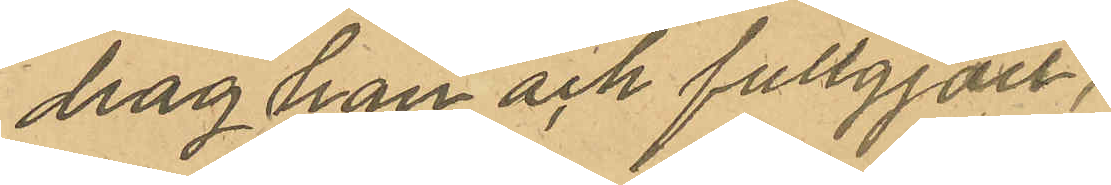drag hon och fullgjort.
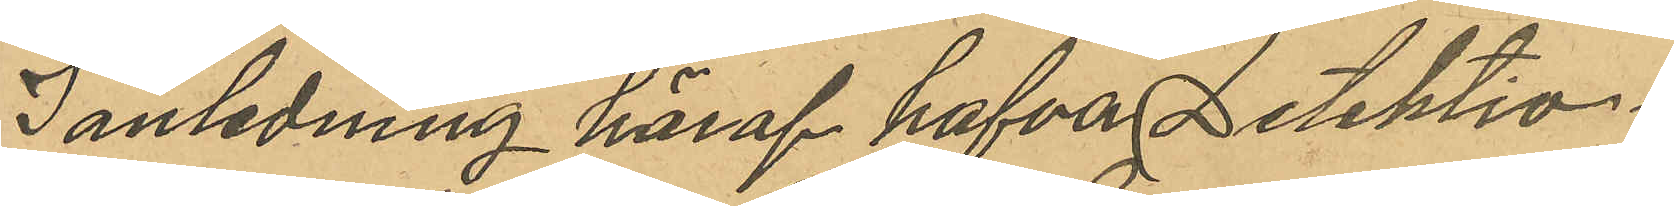I anledning häraf hafva Detektiv¬
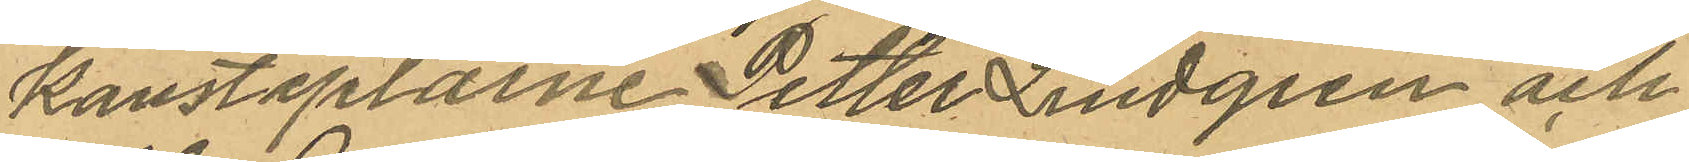konstaplarne Petter Lindgren och
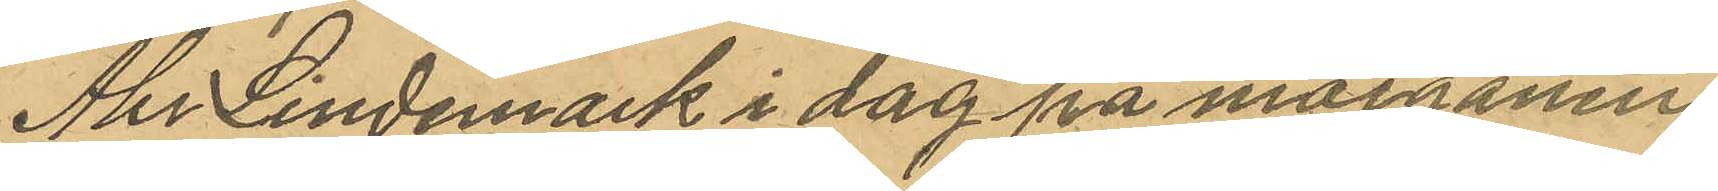Abr Lindemark i dag på morgonen
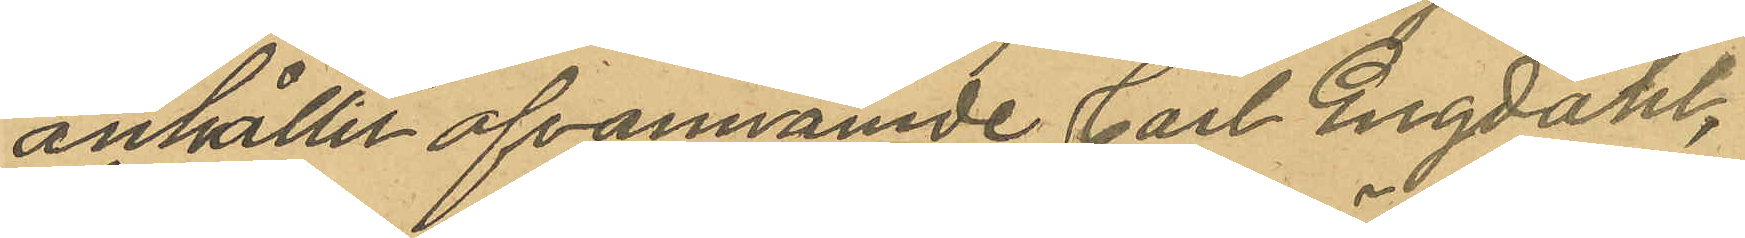anhållit ofvannämde Carl Engdahl,
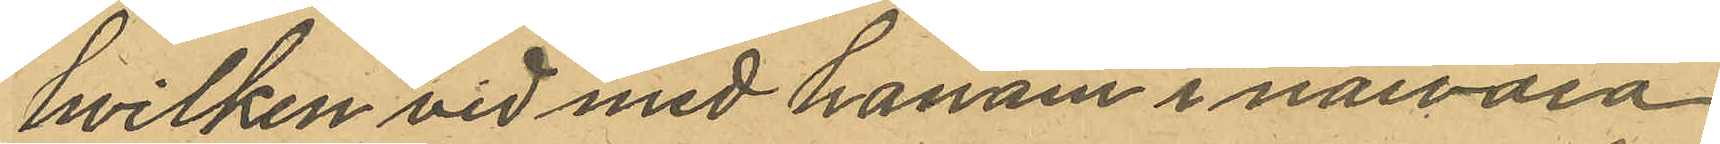hvilken vid med honom i närvaro
